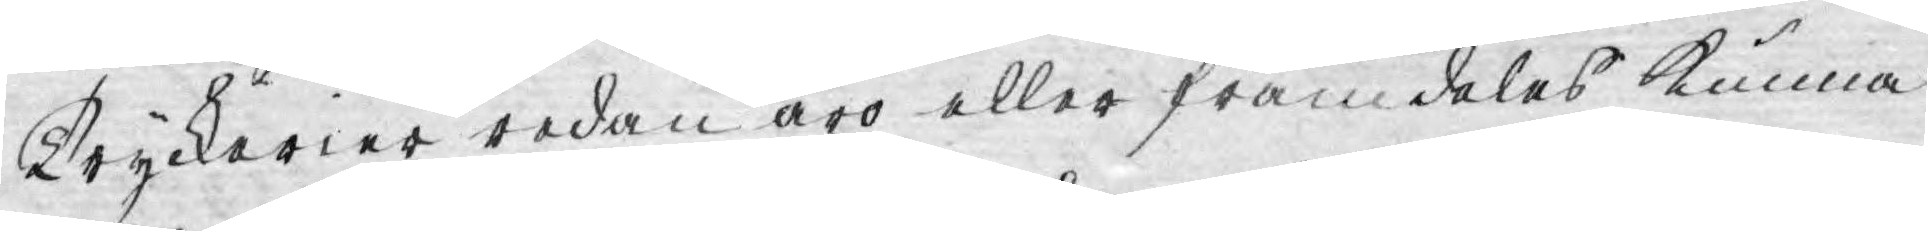Tryckerier redan äro eller framdeles kunna
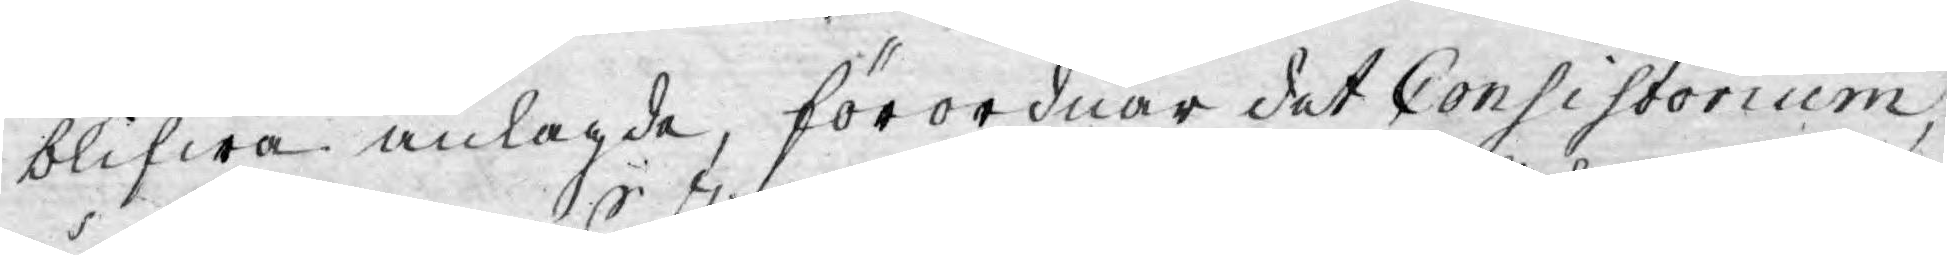blifwa anlagde, förordnar det Consistorium,
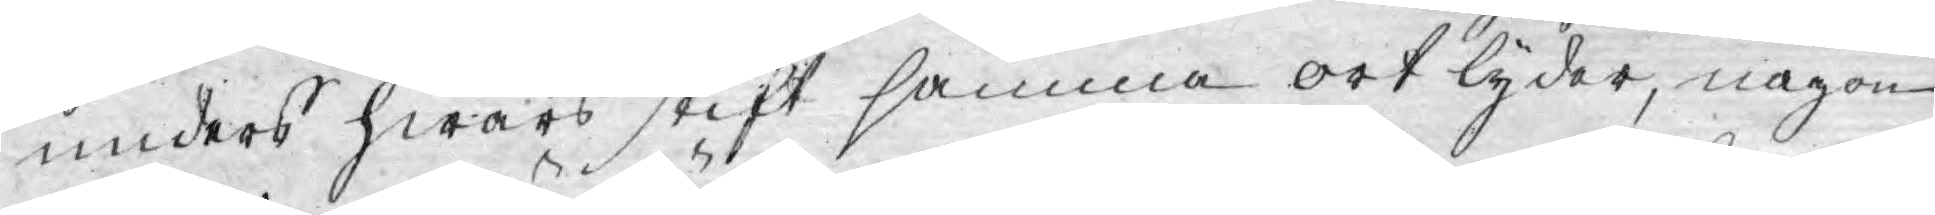unders hwars stift samma ort lyder, någon
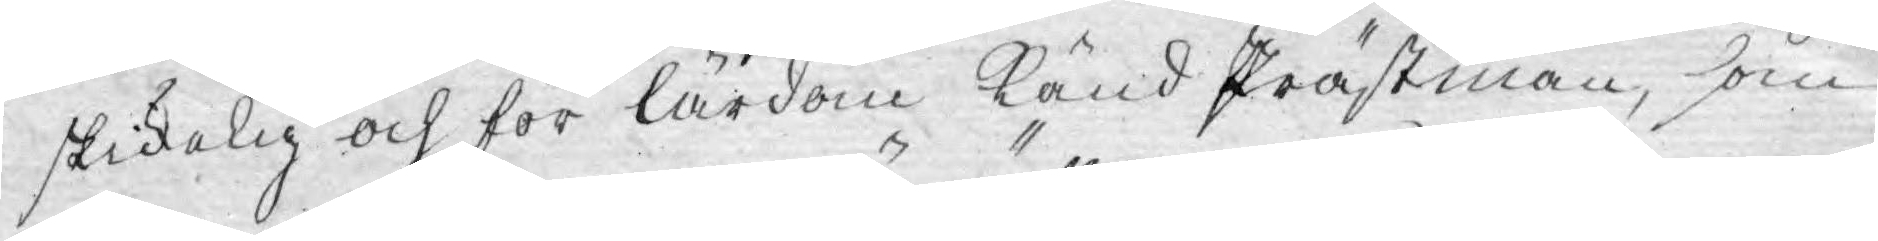skickelig och för lärdom känd Prästman, som
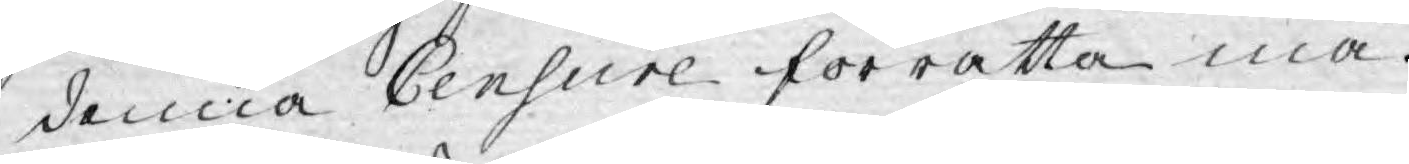denna Censure förrätta må.
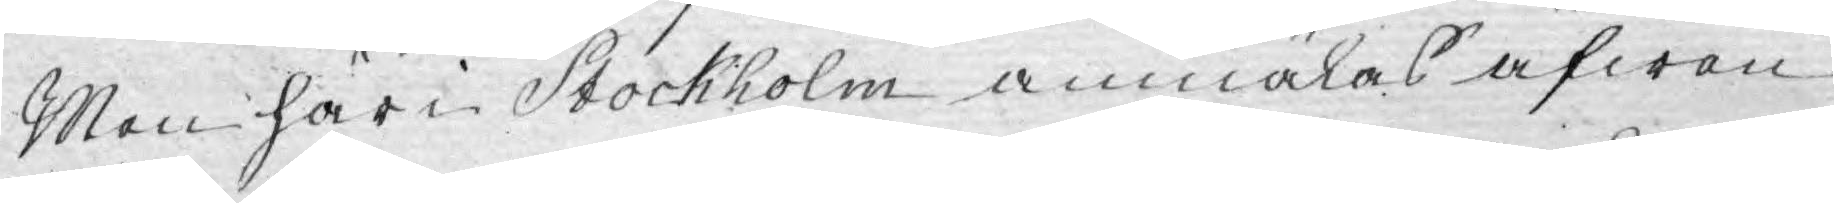Men här in Stockholm anmälas äfwen
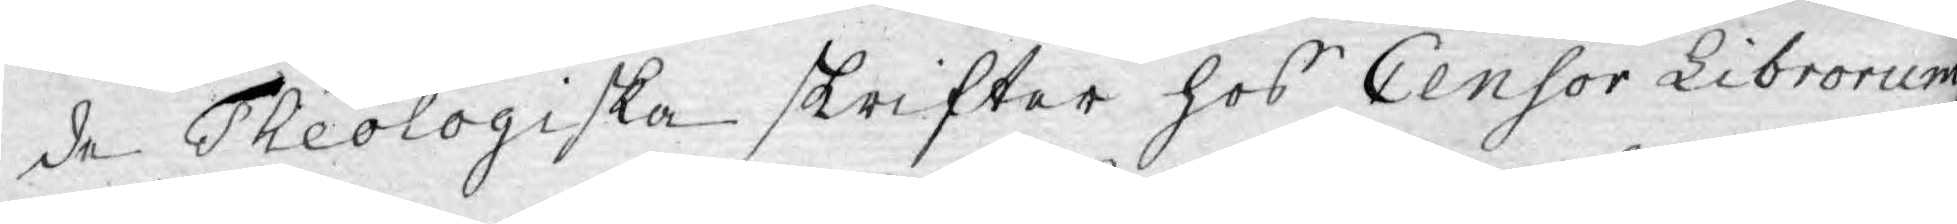de Theologiska skrifter hos Censor Librorum
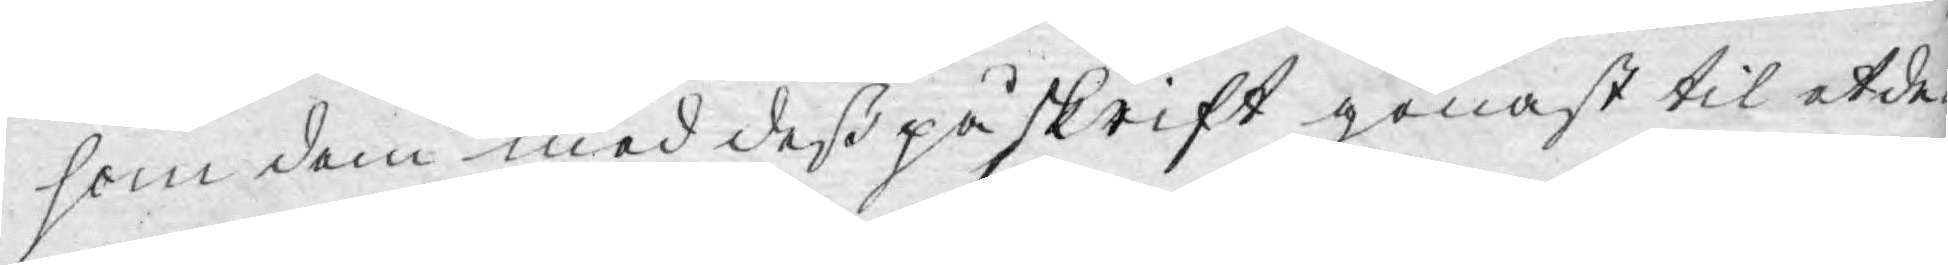som dem med deß påskrift genast til etde¬
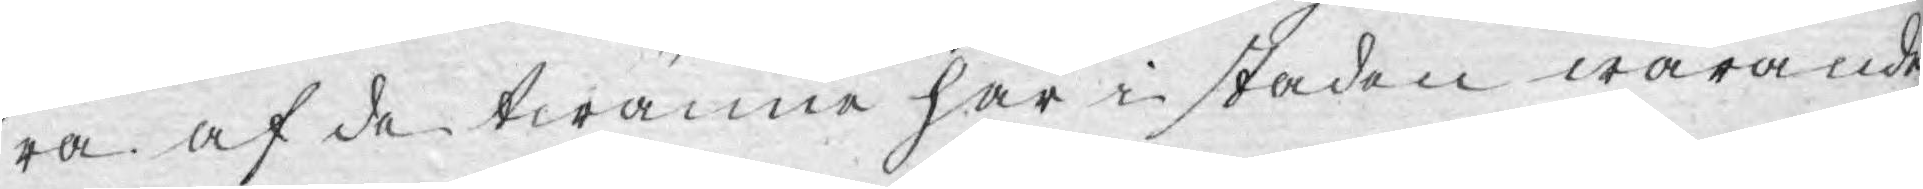ra af de twänne här i staden warande
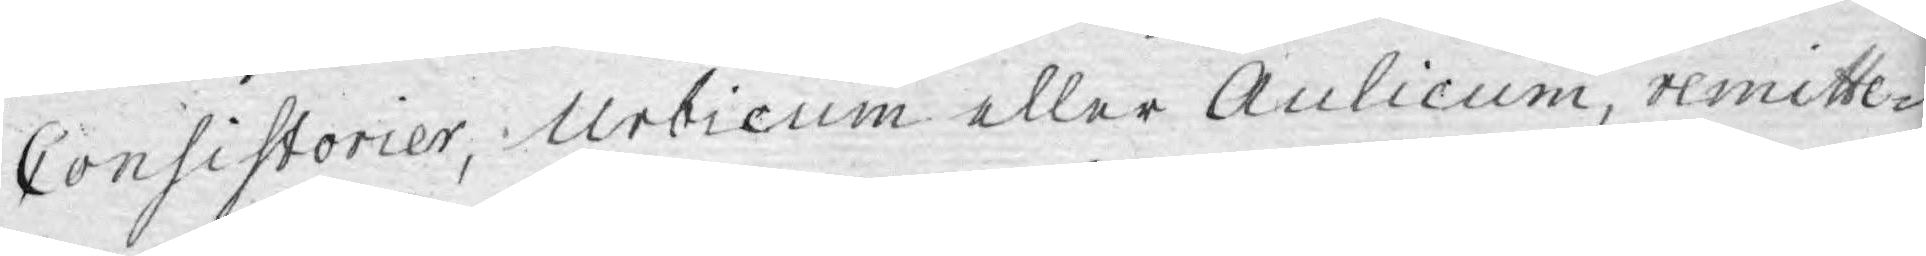Consistorier, Urbicum eller Aulicum, remitte¬
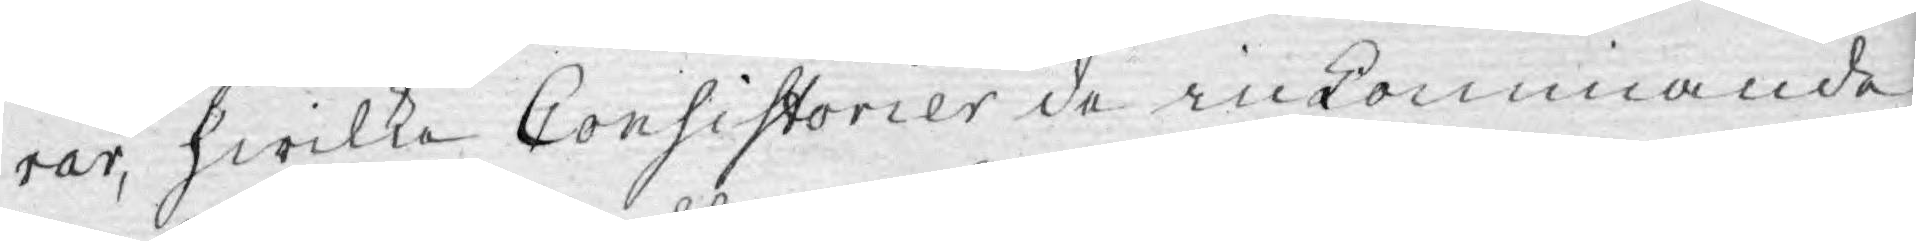rar, hwilka Consistorier de inkommande
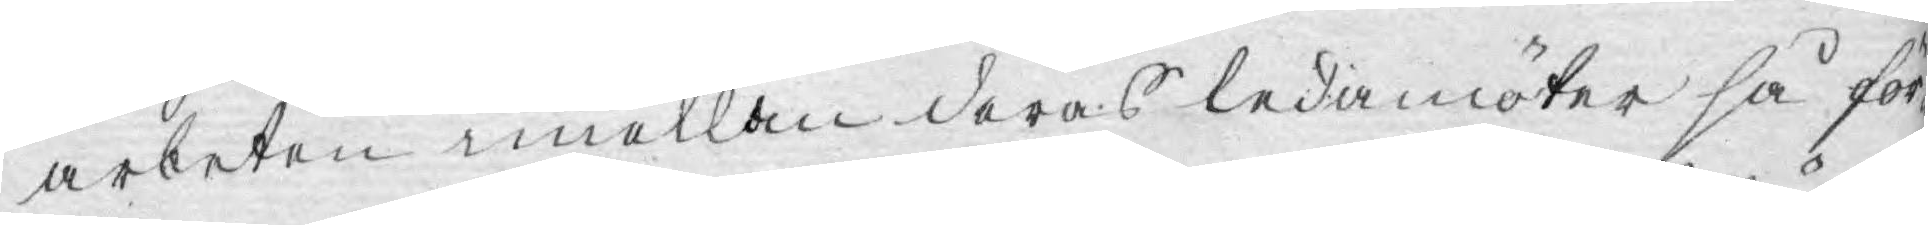arbeten emellan deras ledamöter så för¬
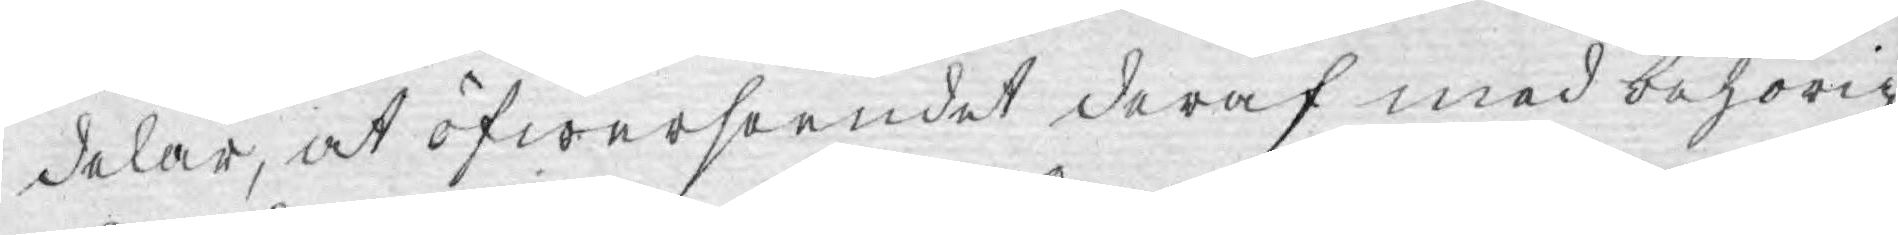delar, at öfwerseendet deraf med behörig
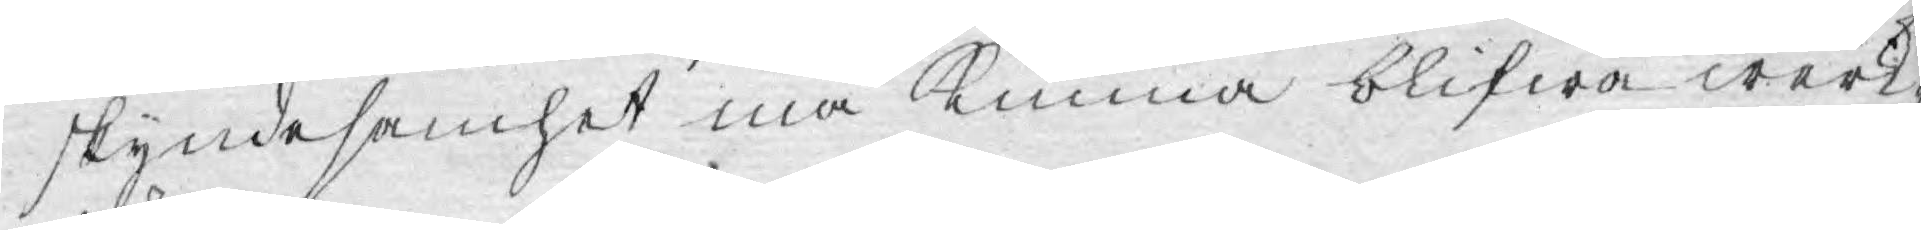skyndesamhet må kunna blifwa werk¬
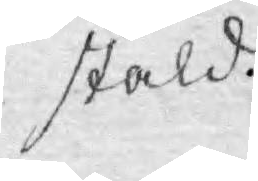stäld.
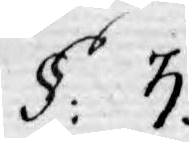§: 3.
